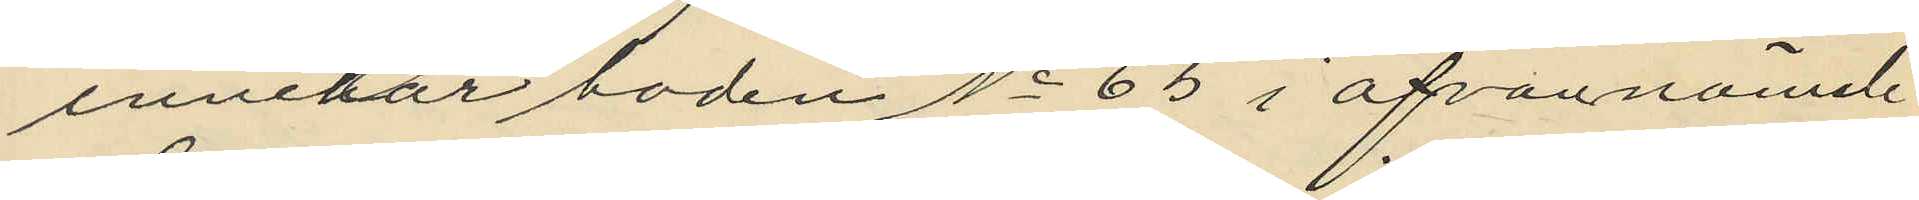innehar boden No 65 i ofvannämnde
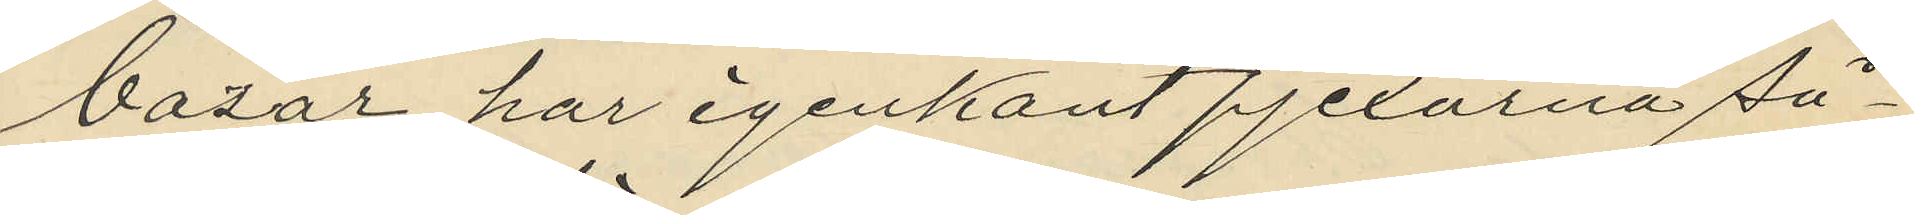bazar har igenkänt pjexorna så¬
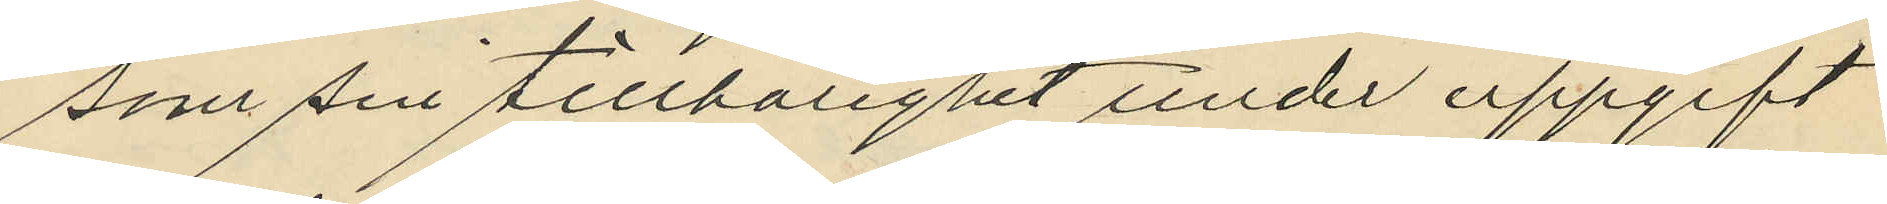som sin tillhörighet under uppgift
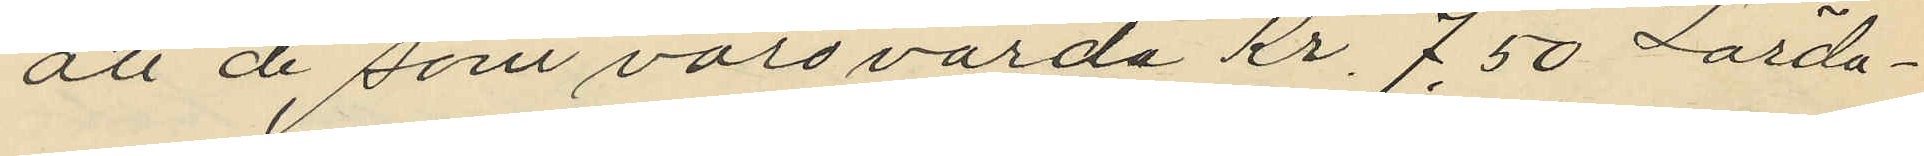att de, som voro värda Kr, 7.50 Lörda¬
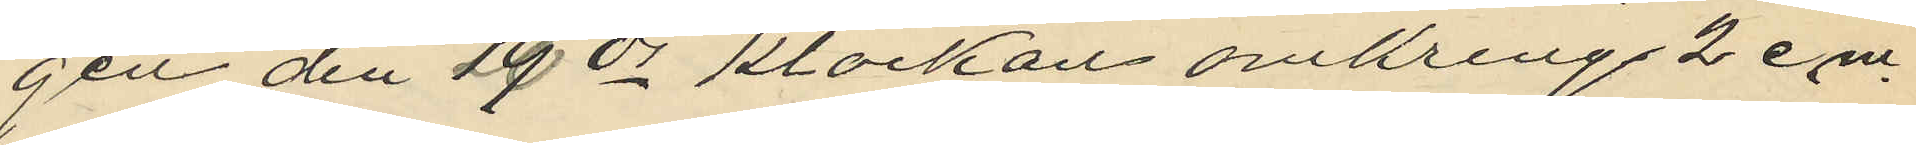gen den 29 ds klockan omkring 2 em.
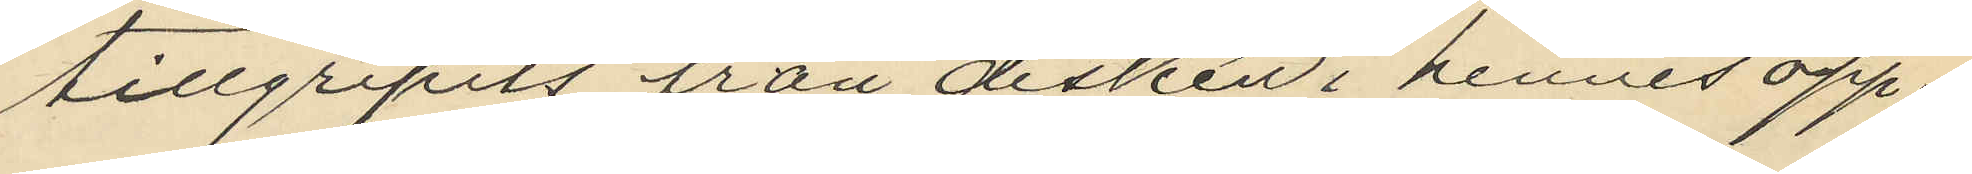tillgripits från disken i hennes öpp¬
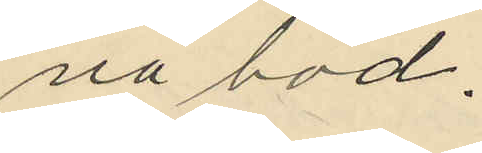na bod.
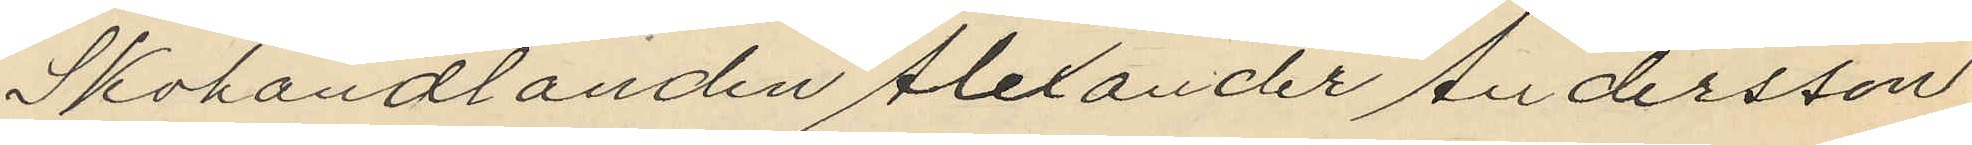Skohandlanden Alexander Andersson
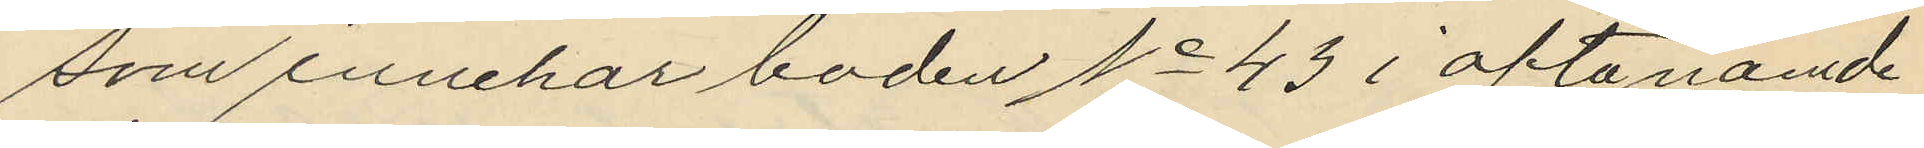som innehar boden No 43 i ofta nämde
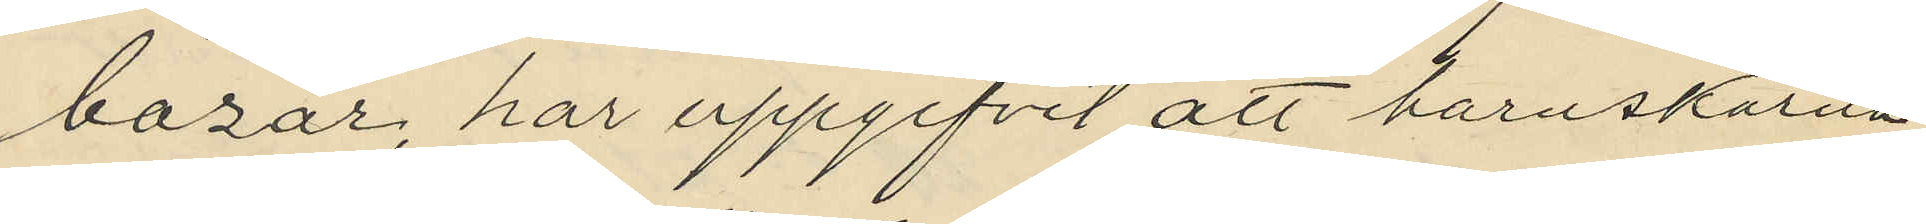bazar, har uppgifvit att barnskorna
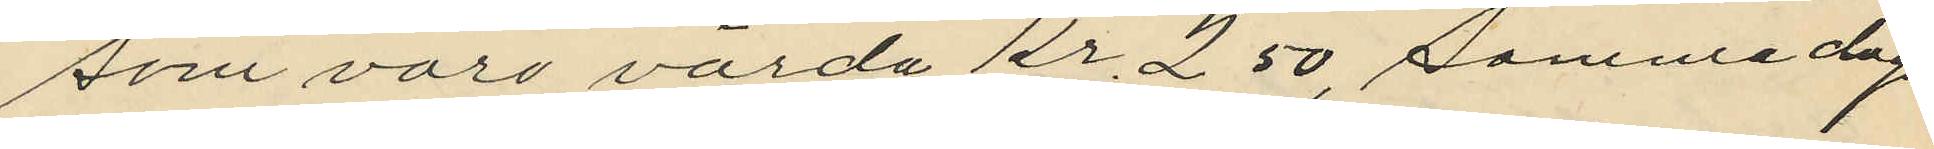som voro värda kr. 2,50, samma dag
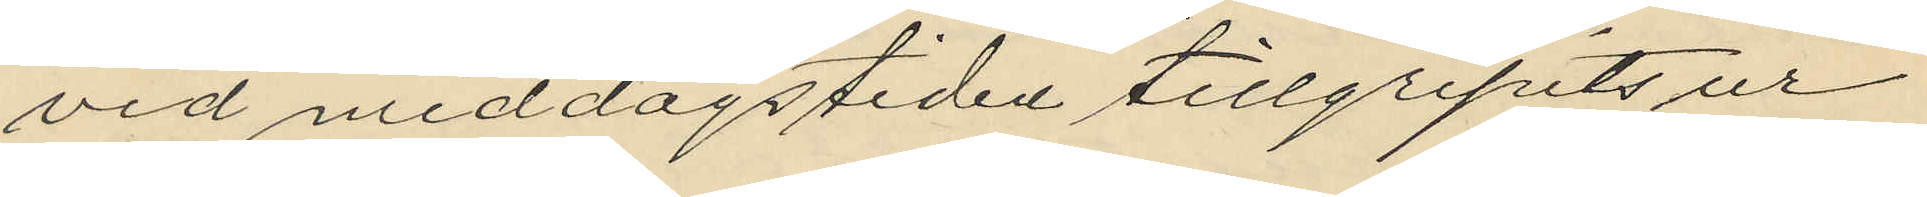vid middagstiden tillgripits ur
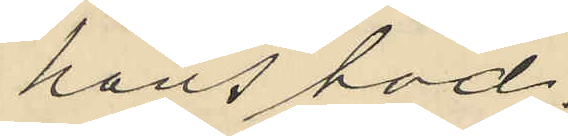hans hod,
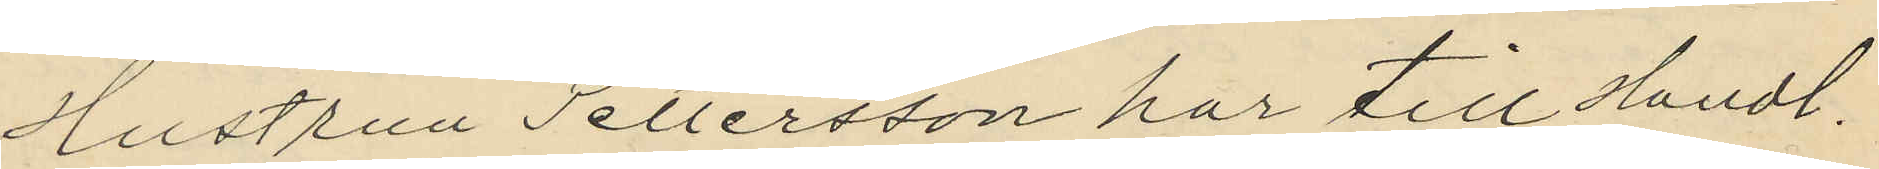Hustrun Pettersson har till Handl.
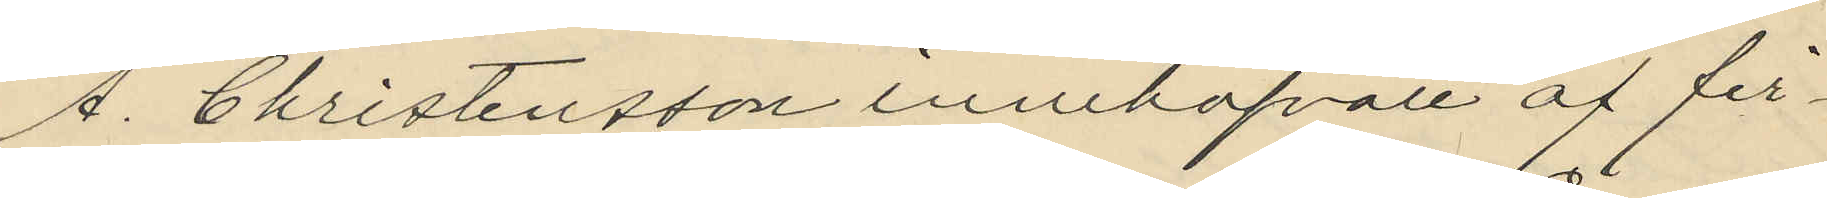A. Christensson innehafvare af fir¬
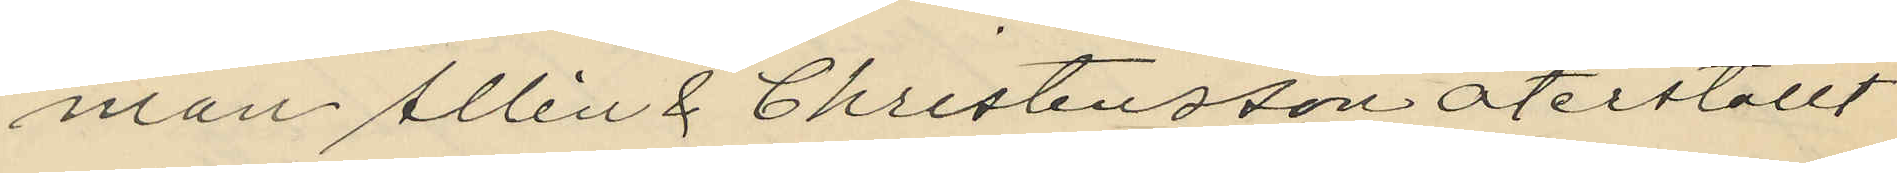man Allén & Christensson återställt
